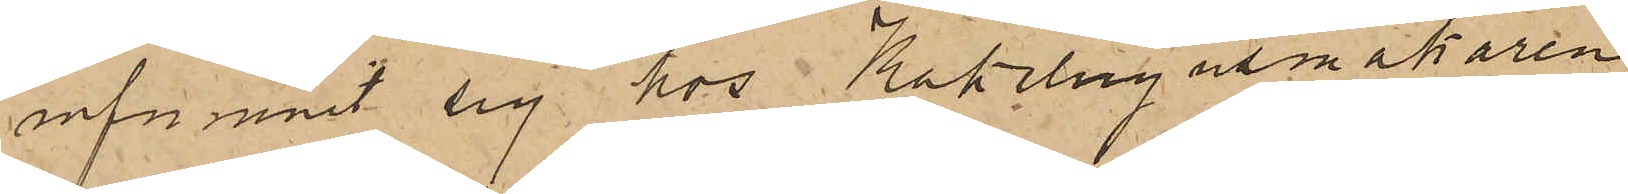infunnit sig hos Kakelugnsmakaren
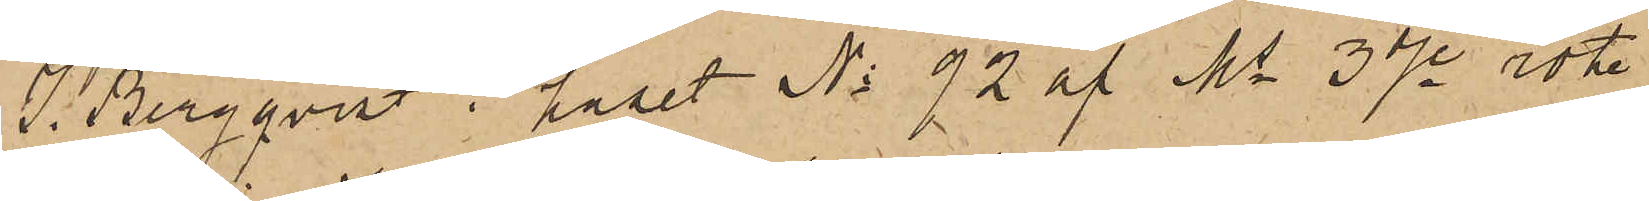J. Bergqvist i huset No 92 af Ms 3dje rote
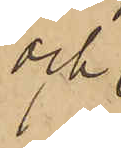och
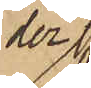der
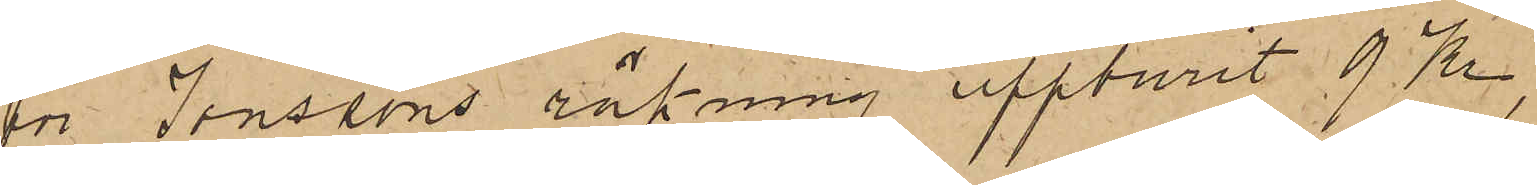för Jonssons räkning uppburit 9 Kr,
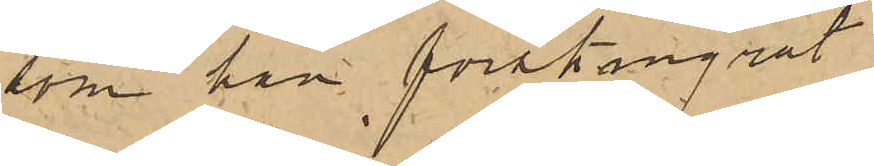som han förskingrat.
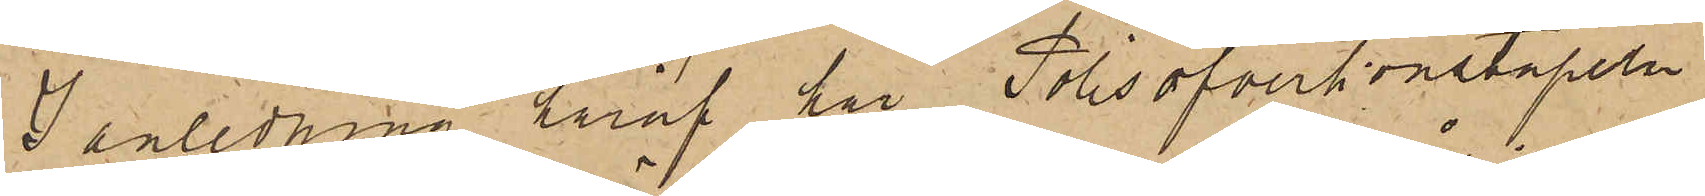I anledning häraf har Polisöfverkonstapeln
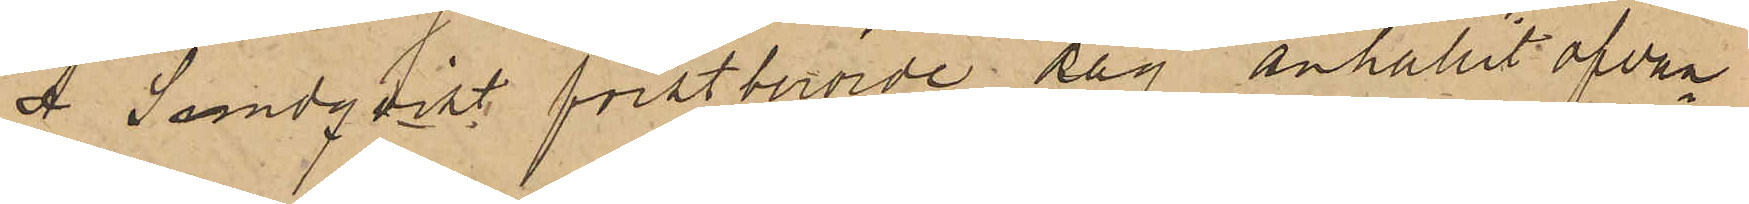A. Sandqvist förstberörde dag anhållit ofvan¬
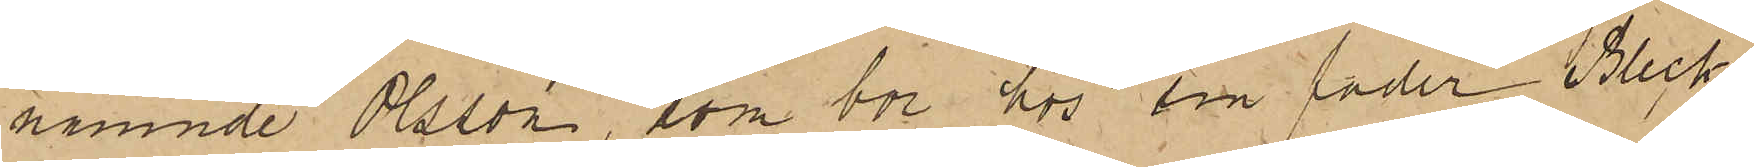nämnde Olsson, som bor hos sin fader Bleck¬
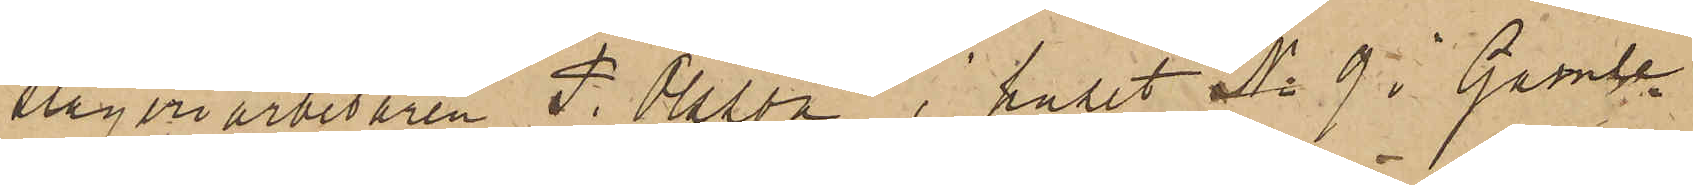slageriarbetaren P. Olsson i huset No 9 i Gamle¬
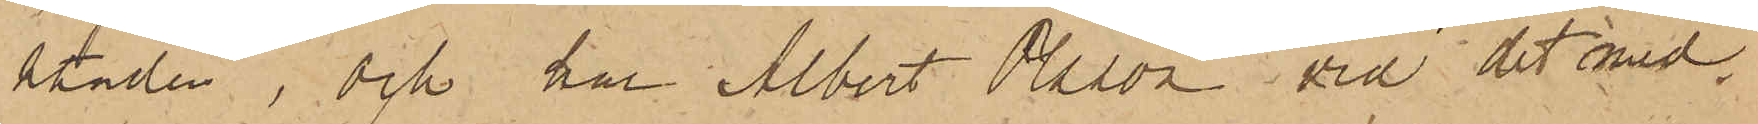staden, och har Albert Osson vid det med
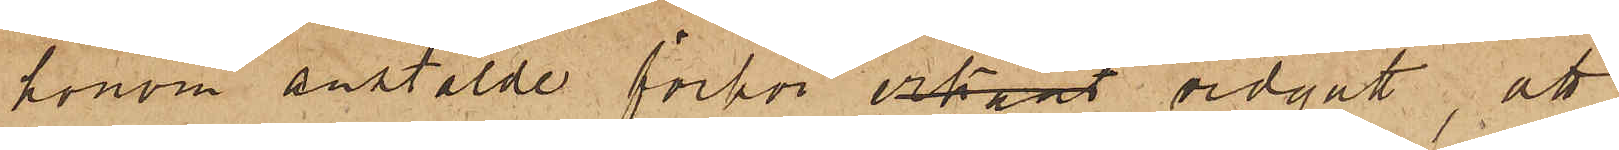honom anstälde förhör erkänt vidgått, att
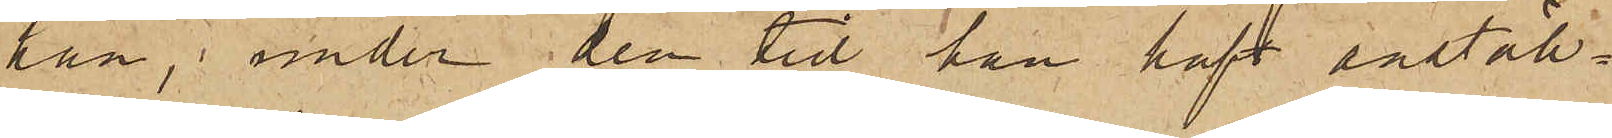han, under den tid han haft anställ¬
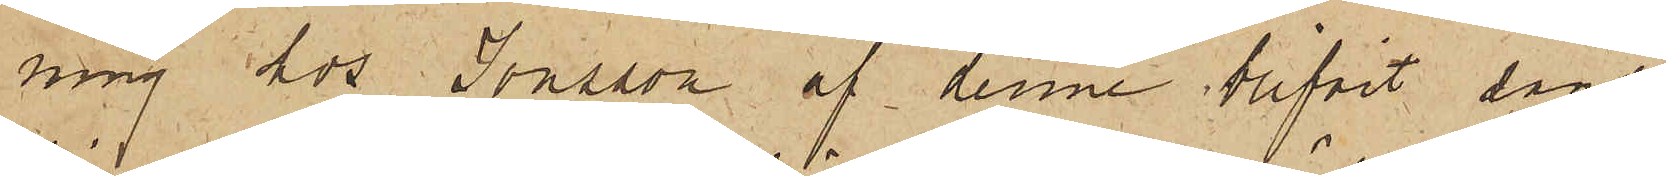ning hos Jonsson af denne blifvit sänd
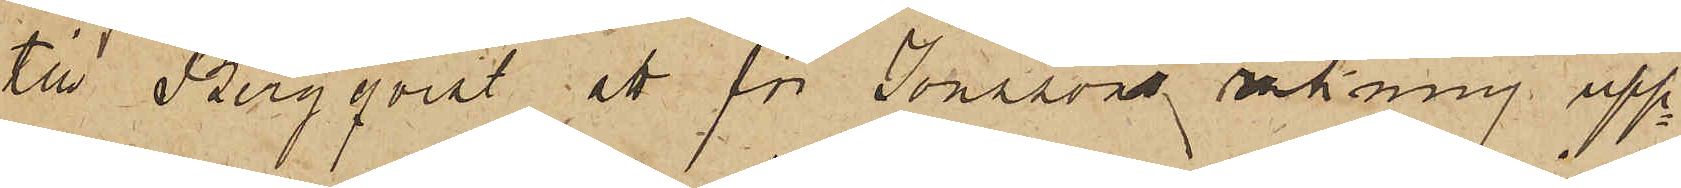till Bergqvist att för Jonssons räkning upp¬
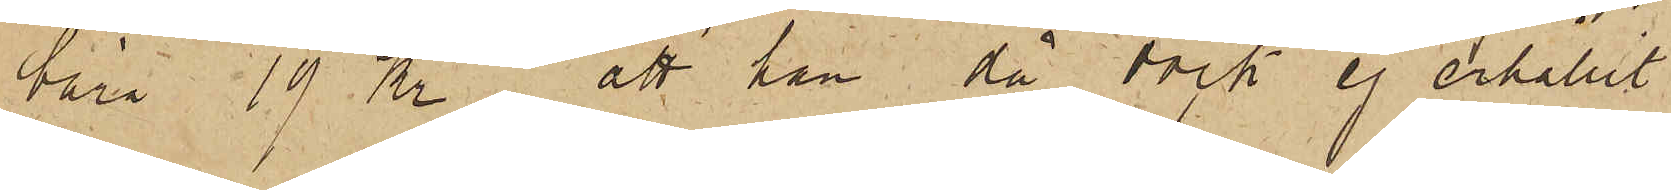bära 19 Kr; att han då dock ej erhållit
